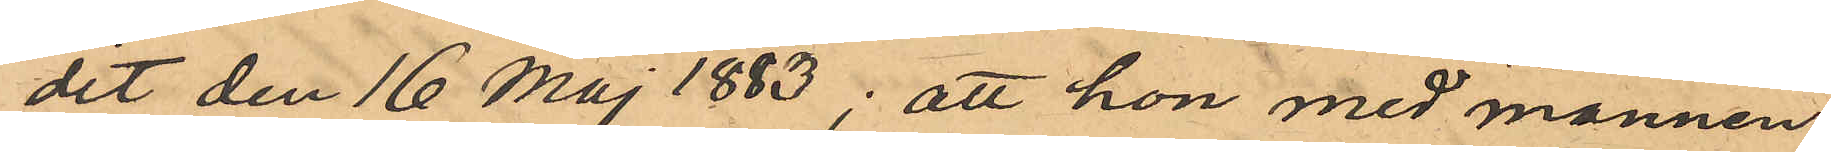dit den 16 Maj 1883; att hon med mannen
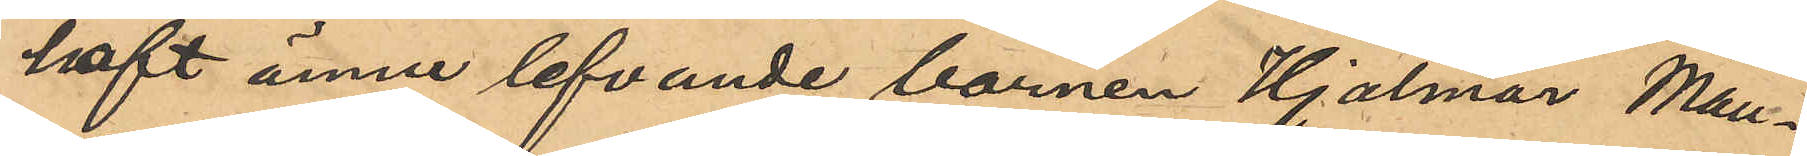haft ännu lefvande barnen Hjalmar Mau¬
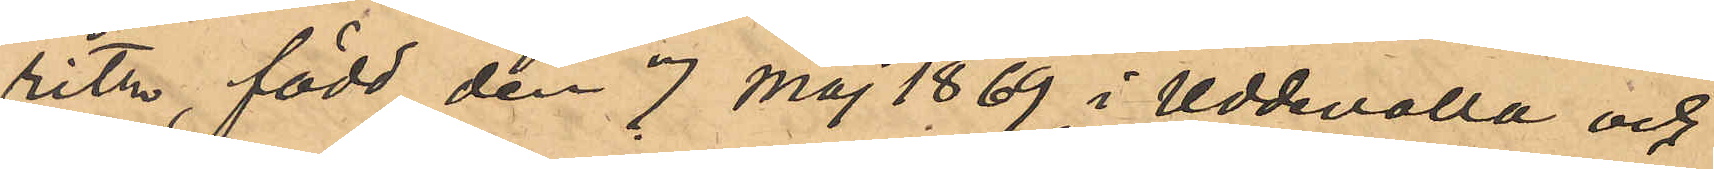ritz, född den 7 Maj 1869 i Uddevalla och
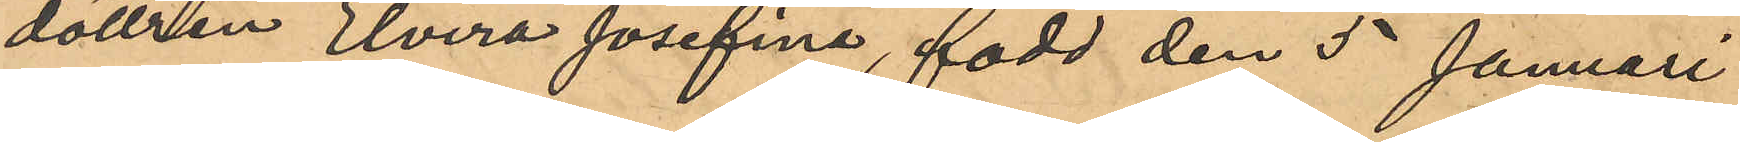dottren Elvira Josefina, född den 5 Januari
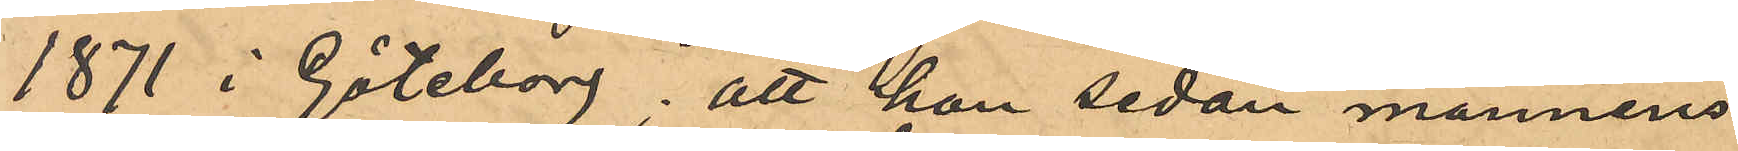1871 i Göteborg; att hon sedan mannens
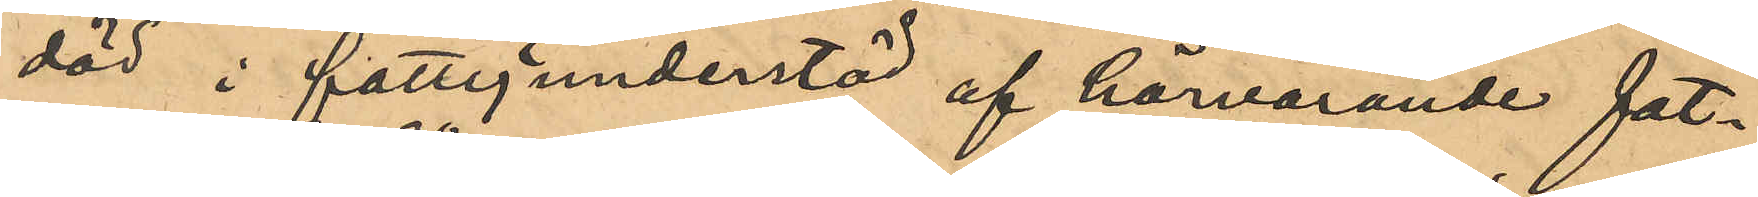död i fattigunderstöd af härvarande fat¬
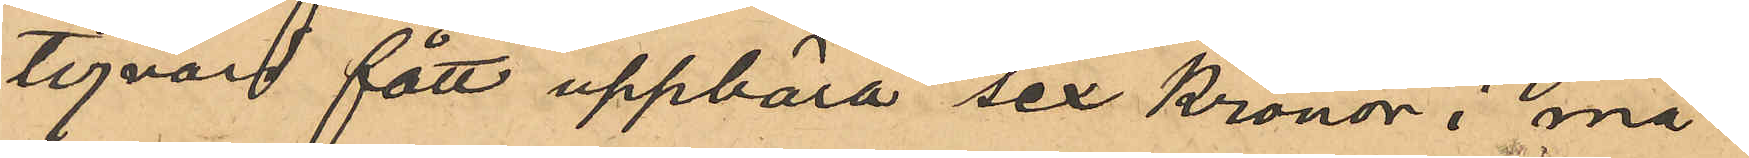tigvård fått uppbära sex Kronor i må¬
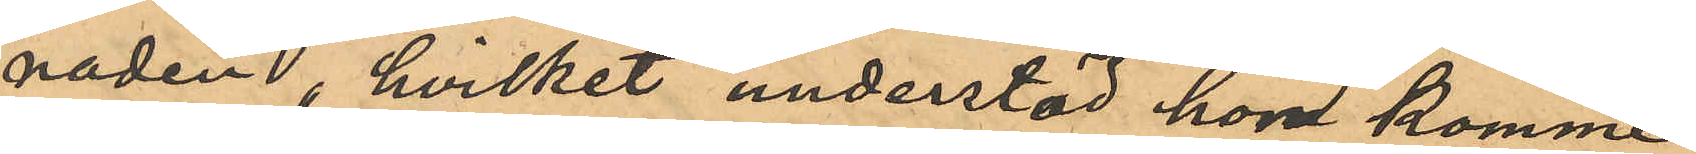naden, hvilket understöd hon komme
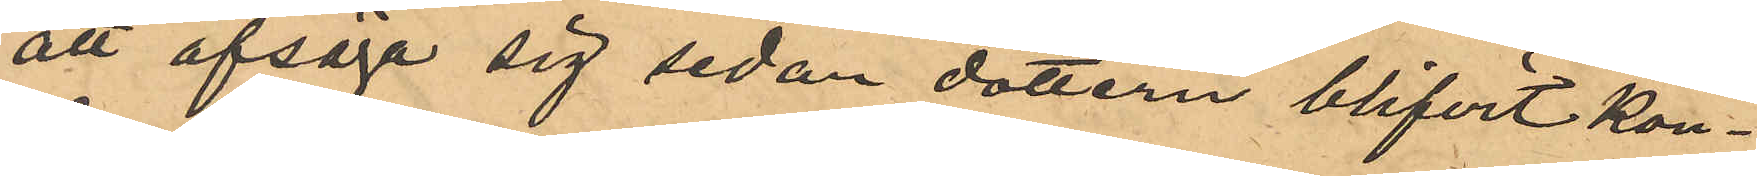att afsäga sig sedan dottern blifvit kon¬
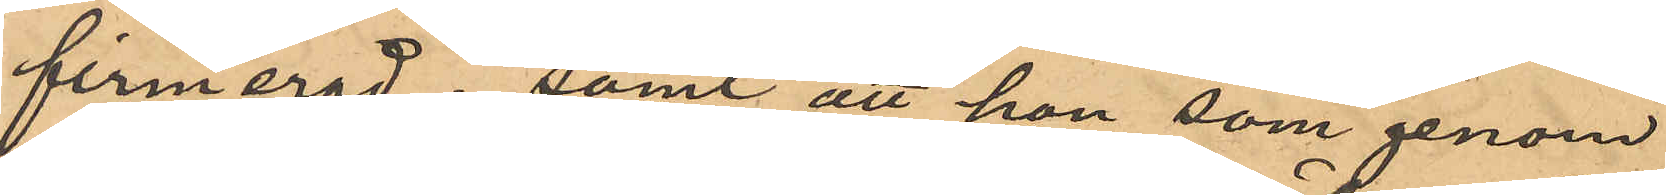firmerad; samt att hon som genom
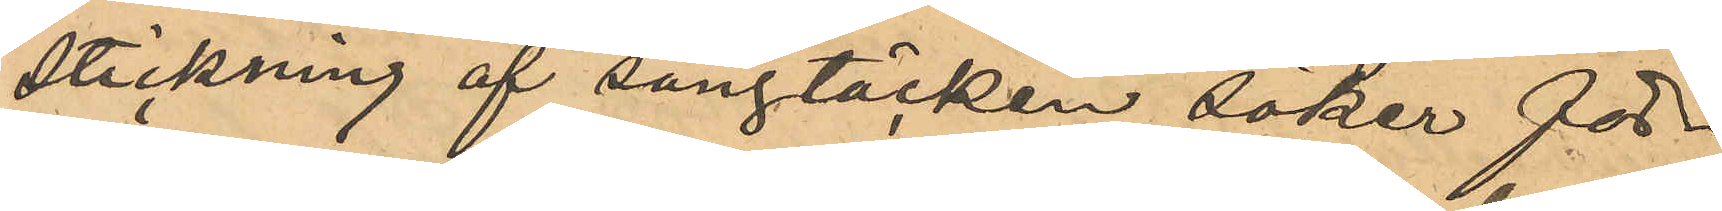stickning af sängtäcken söker för¬
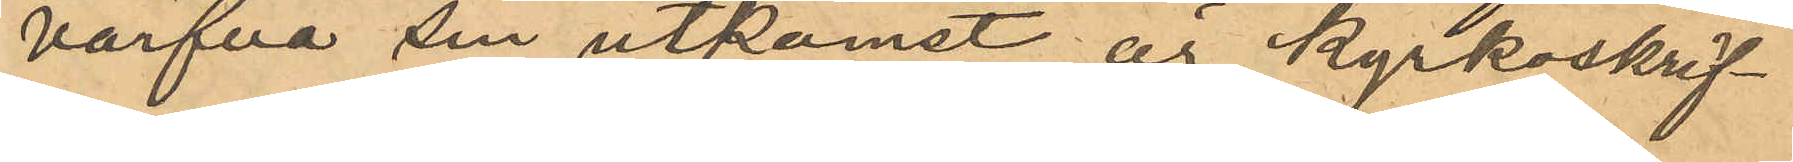värfva sin utkomst är kyrkoskrif¬
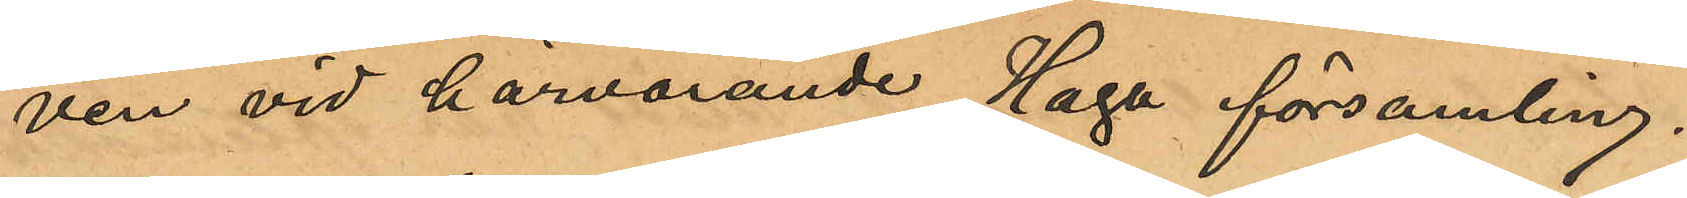ven vid härvarande Haga församling.
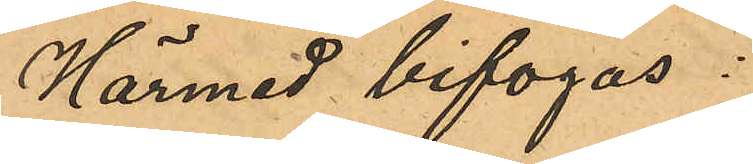Härmed bifogas:
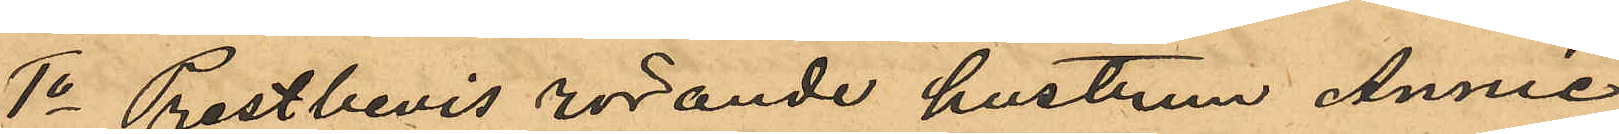1o Prestbevis rörande hustrun Annie
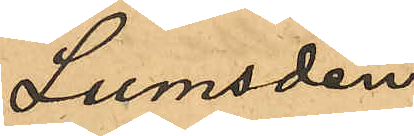Lumsden;
